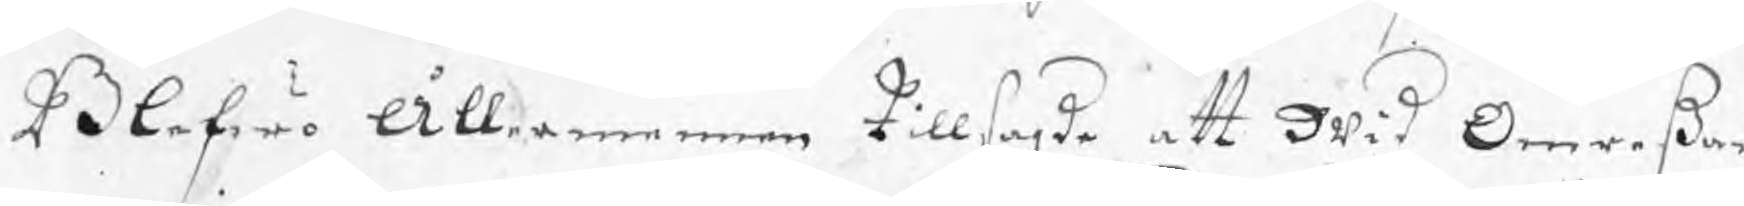Blefwo Ållermannen tillsagde att wid Omreßan
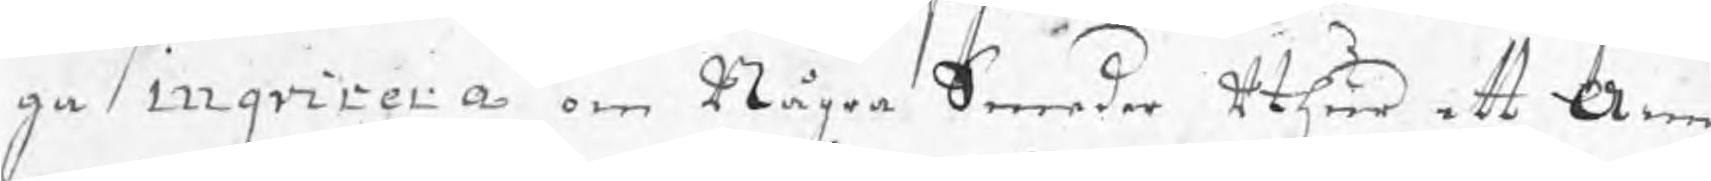ga inqvirera om Några Smeder uthur ett Arm
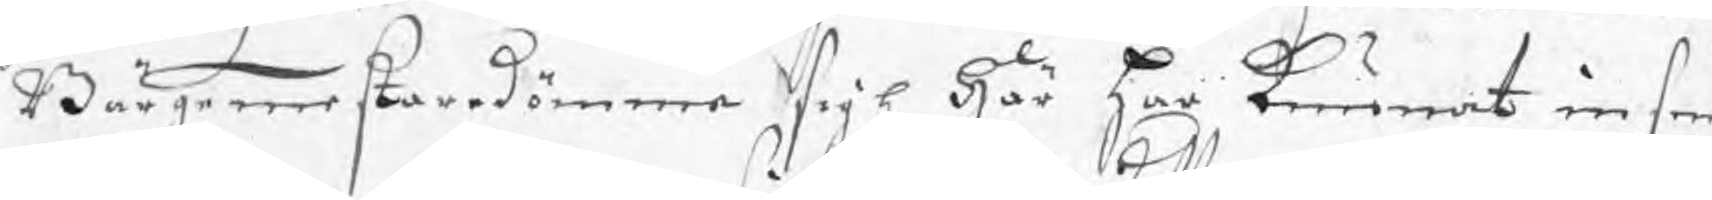Bärgemestaredömme sigh här har kunnat infr
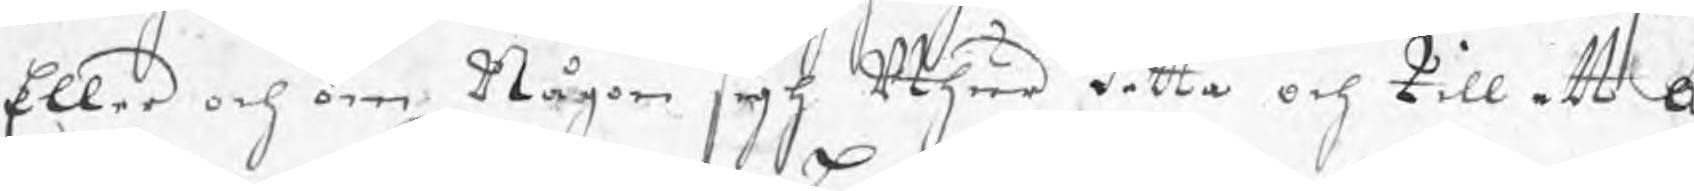Eller och om Någon sigh uthur detta och till ett a
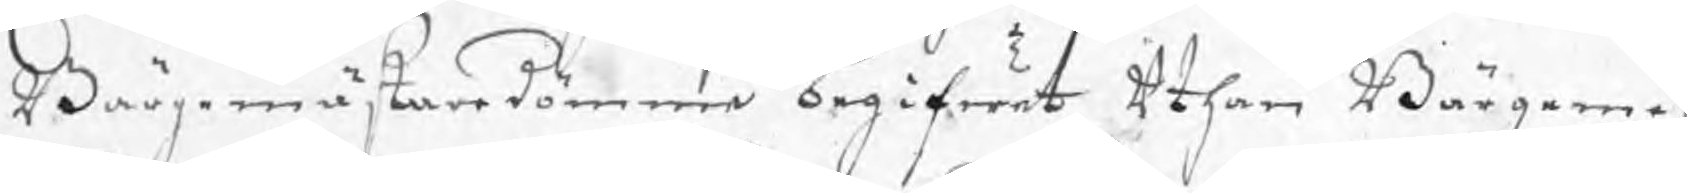Bärgemästaredömme begifwit uthan Bärgeme
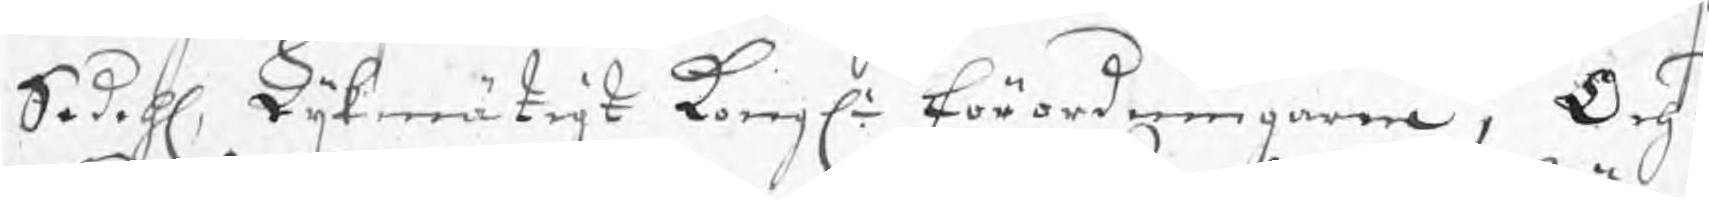Sedehl, Lijkmätigt Kongle förordningarne, Och ä
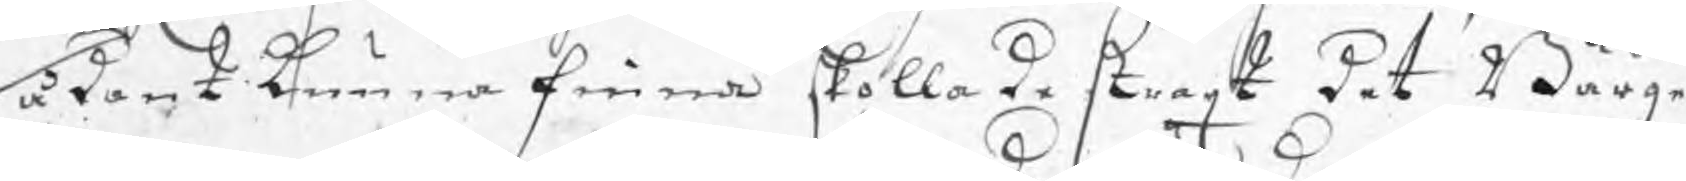sådant kunna finna skolla de straxt det Bärge
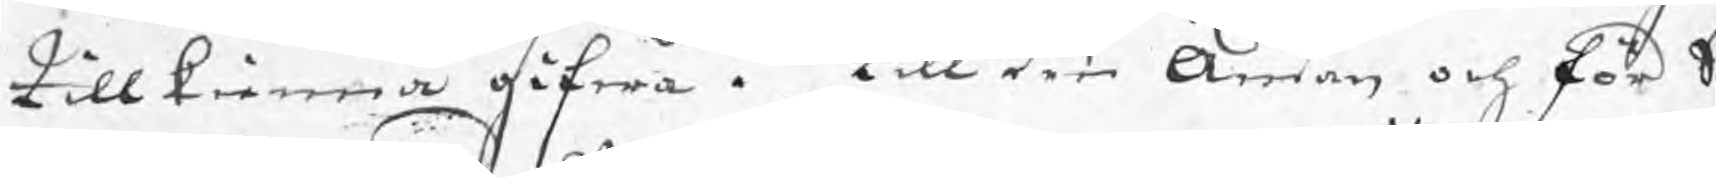tillkienna gifwa. Till den ändan och för S
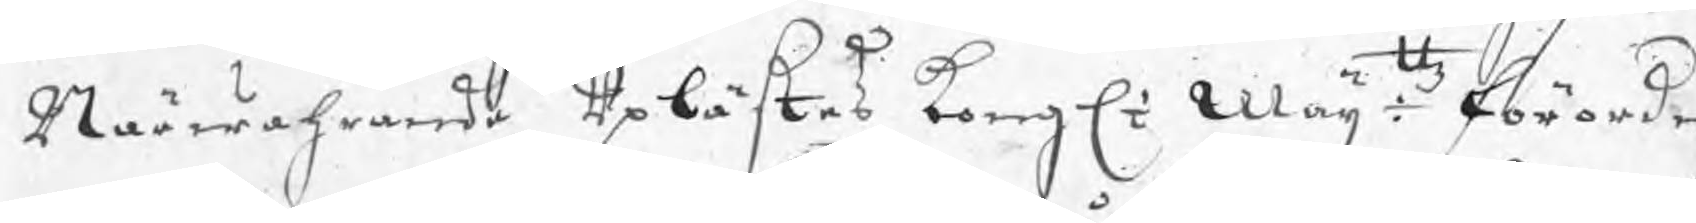Närwahrande uplästes Kongl Maijtz förordni
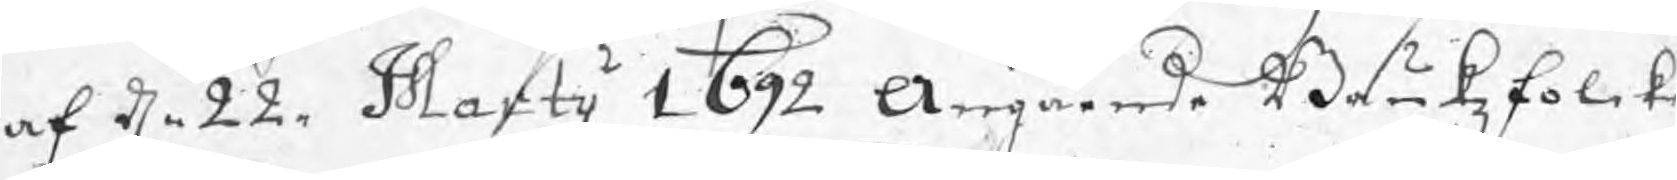af d. 22. Martij 1692 Angående Brukzfolk
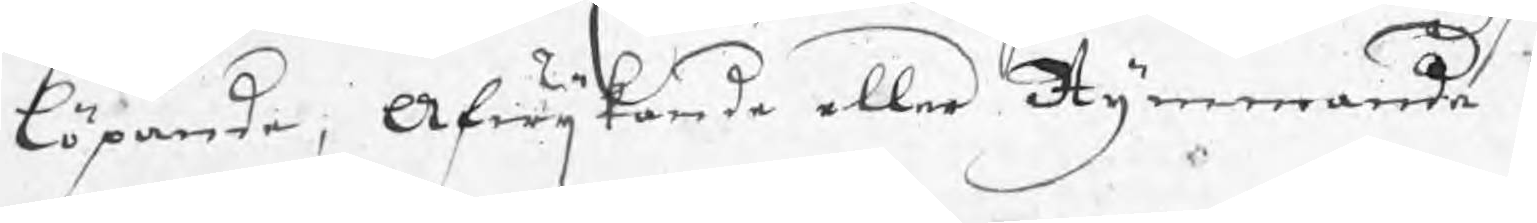löpande, Afwijkande eller Rymmande.
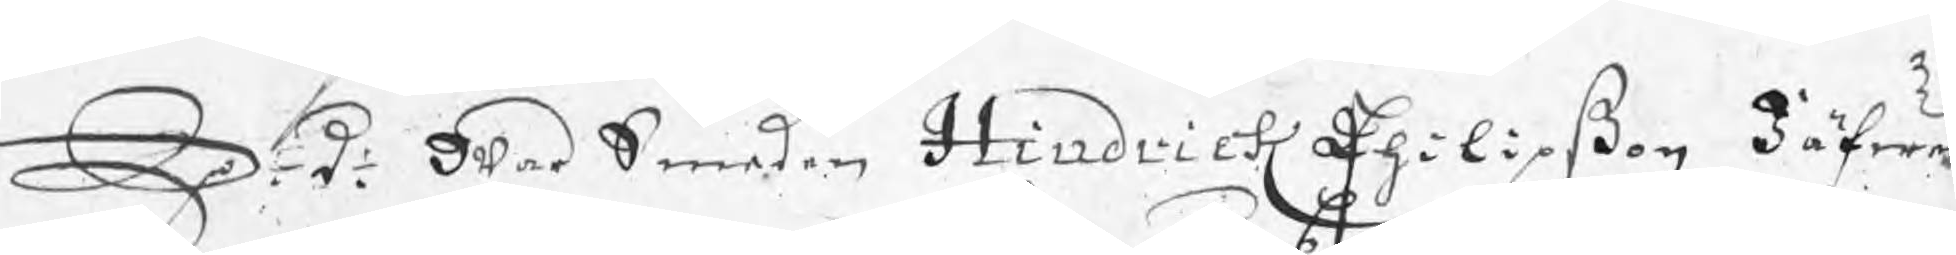S: d: War Smeden Hindric Philipßon Jäfwer
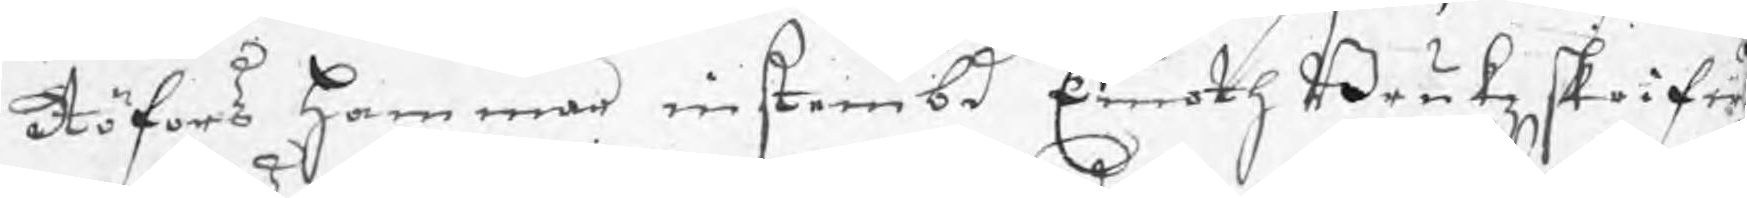Röfors hammar instembd Emoth Brukzskrifw
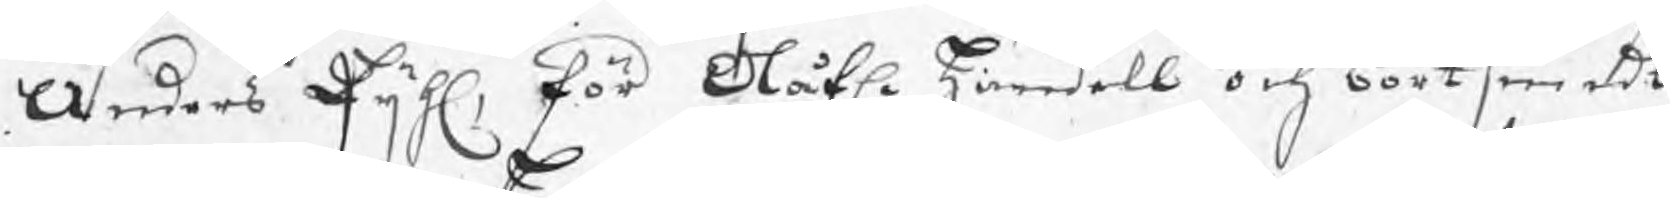Anders Pijhl, för Olofl. handell och bortsmidt t
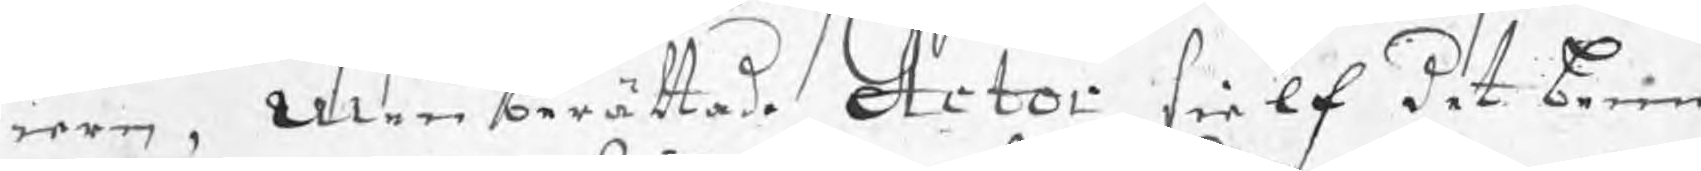iern, men berättade Actor sielf det beme
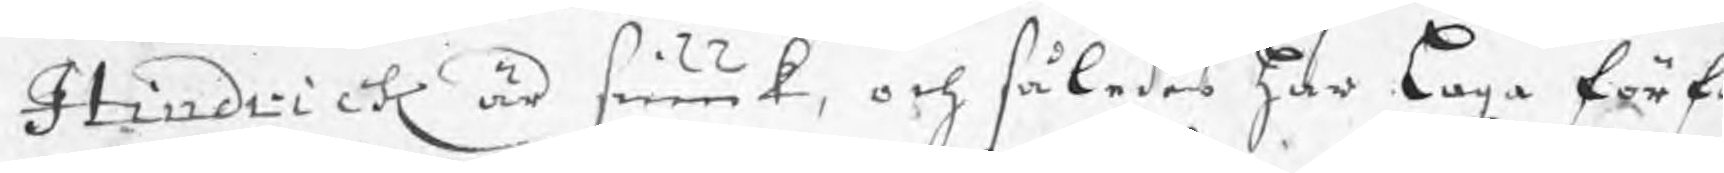Hindrick är siuuk, och således har laga förf
